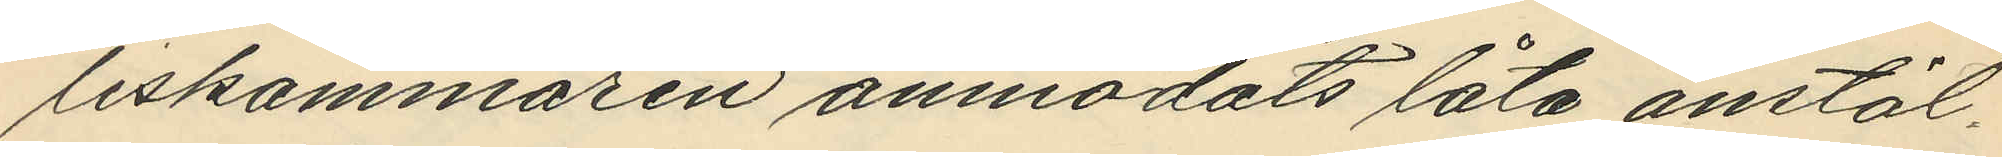liskammaren anmodats låta anstäl¬
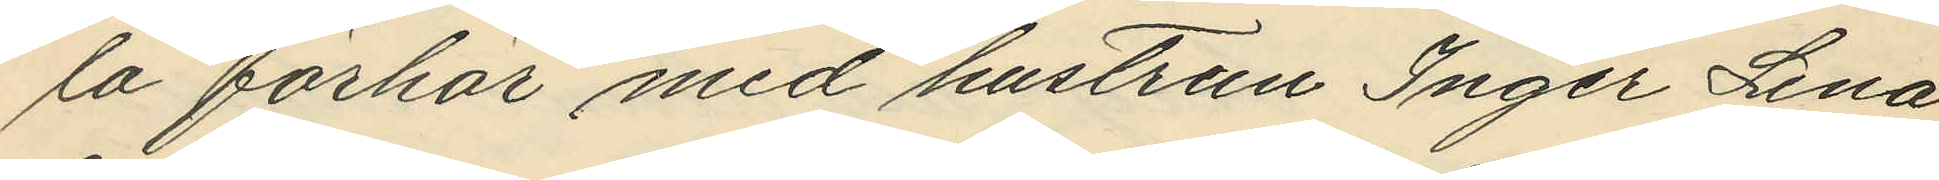la förhör med hustrun Inger Lena
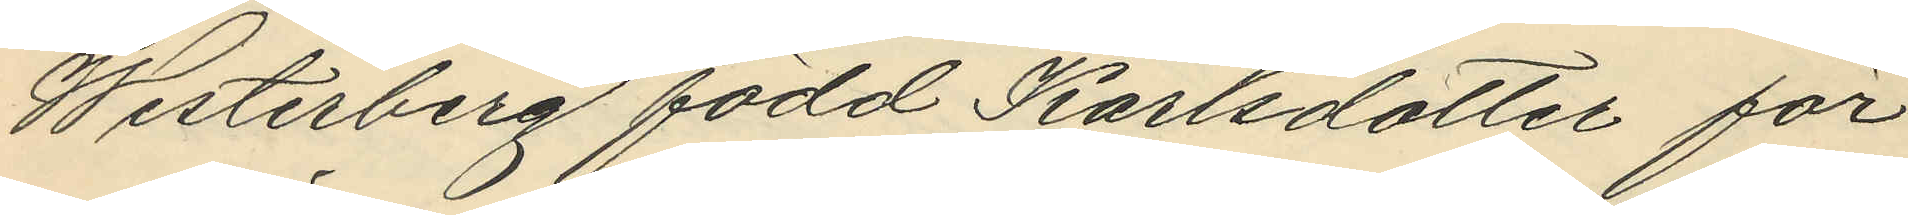Westerberg född Karlsdotter för
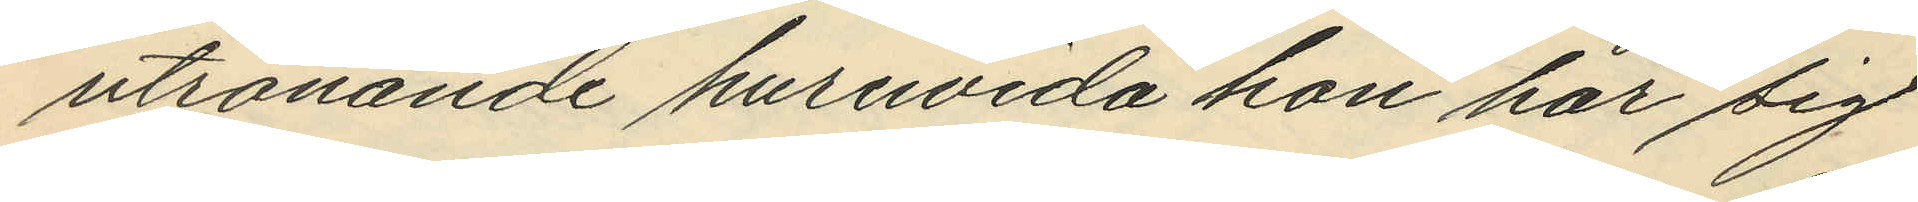utrönande huruvida hon har sig
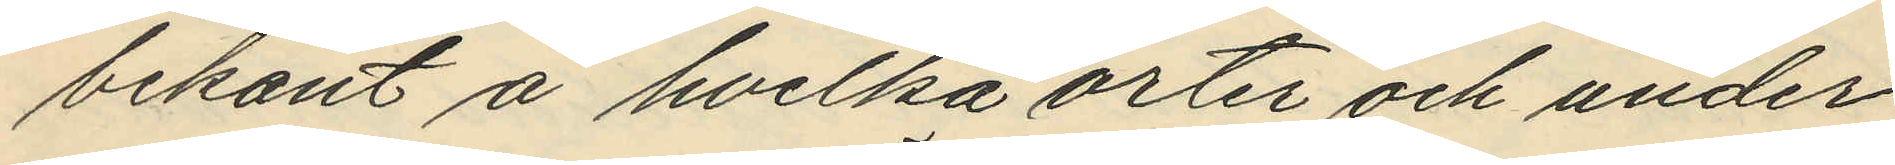bekant å hvilka orter och under
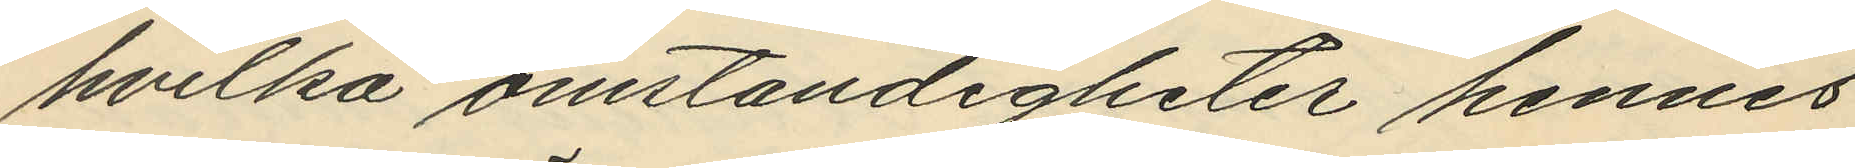hvilka omständigheter hennes
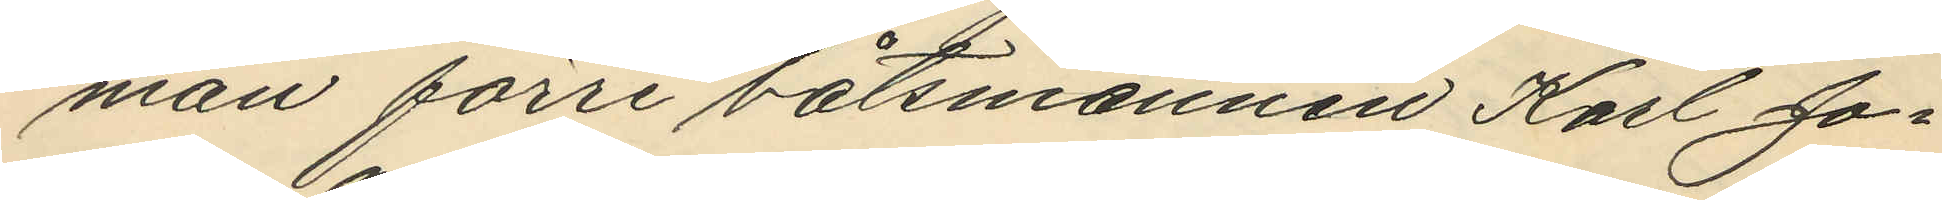man förre båtsmannen Karl Jo¬
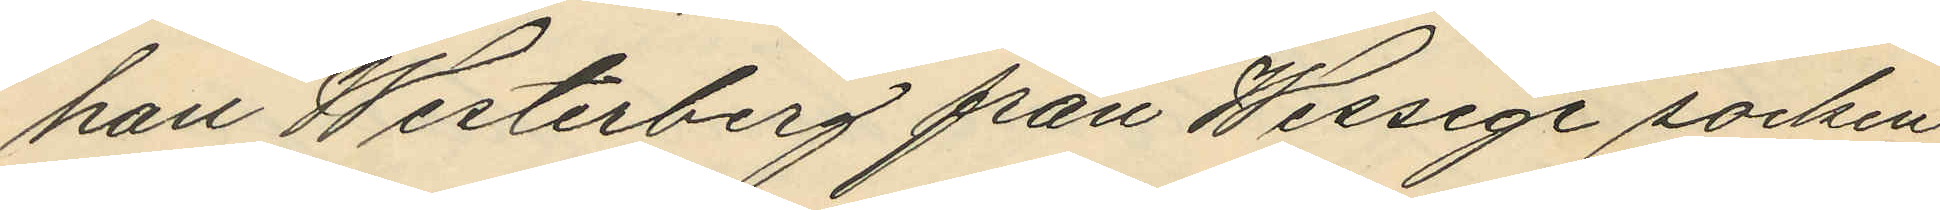han Westerberg från Wessige socken
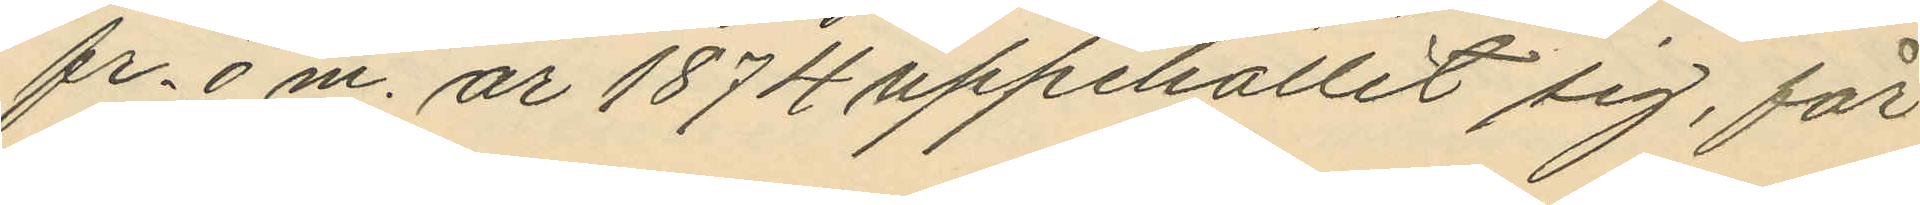fr. o m. år 1874 uppehållit sig, får
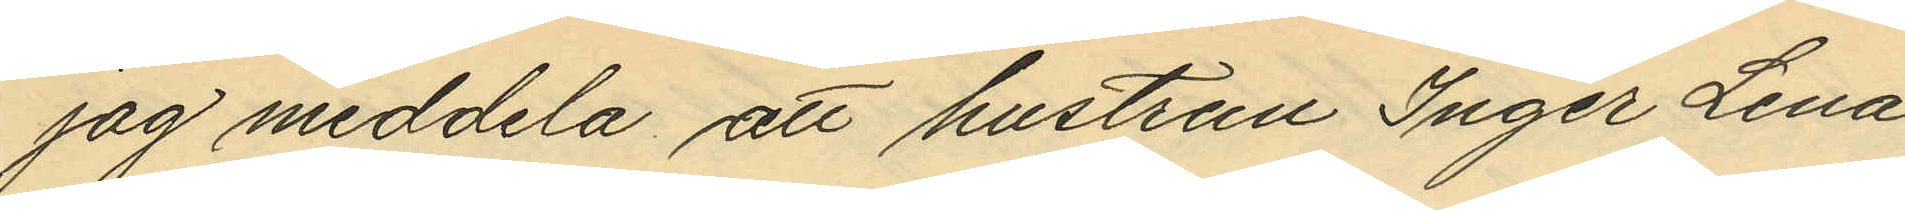jag meddela att hustrun Inger Lena
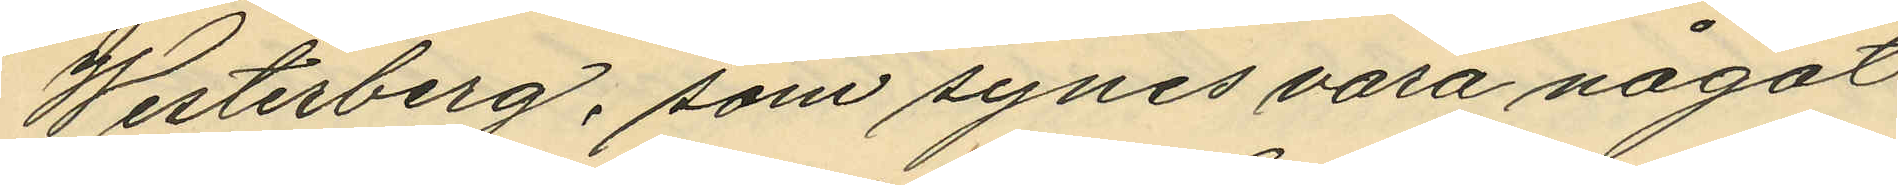Westerberg, som synes vara något
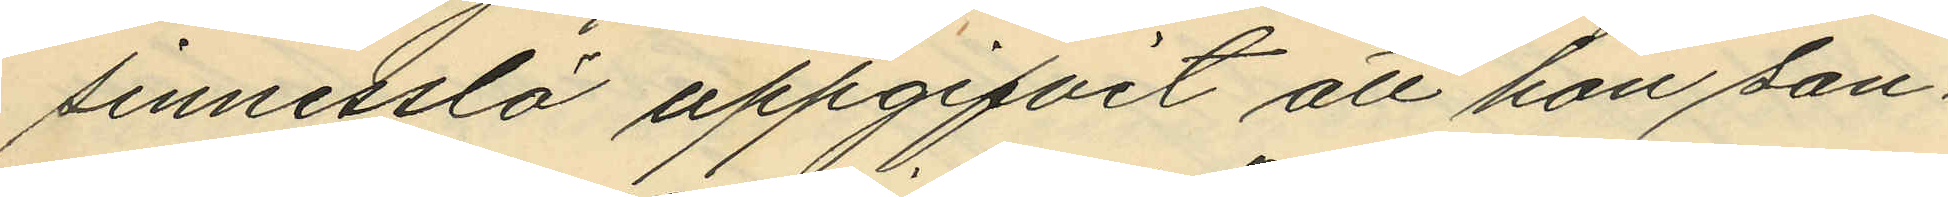sinnesslö uppgifvit att hon san¬
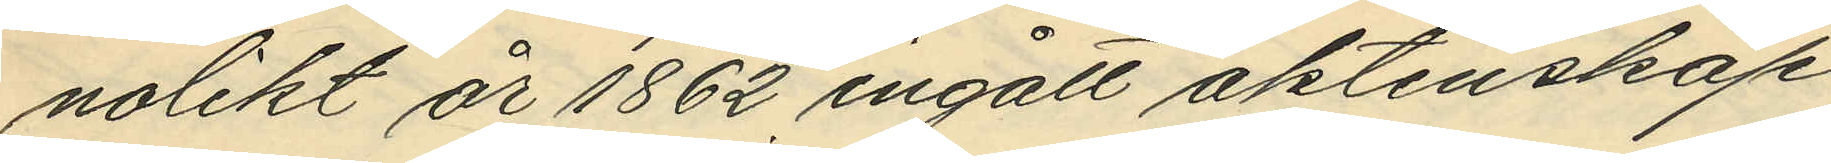nolikt år 1862 ingått äktenskap
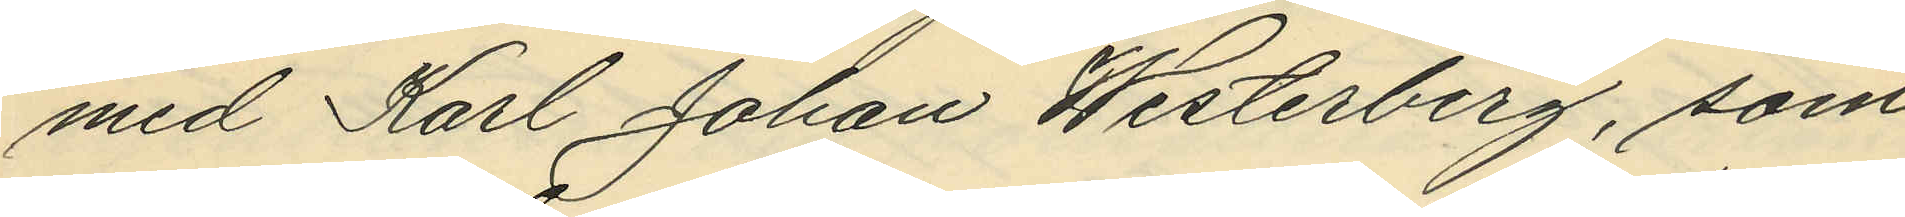med Karl Johan Westerberg, som
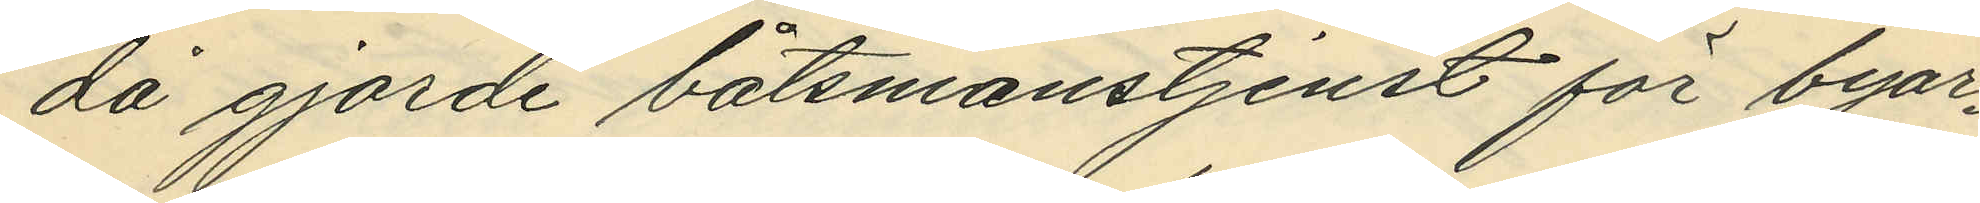då gjorde båtsmanstjenst för byar¬
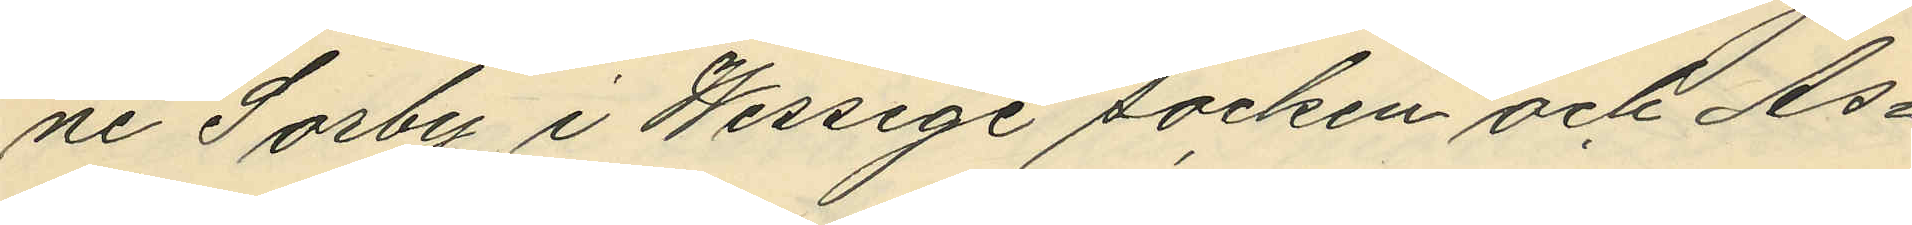ne Sorby i Wessige socken och As¬
